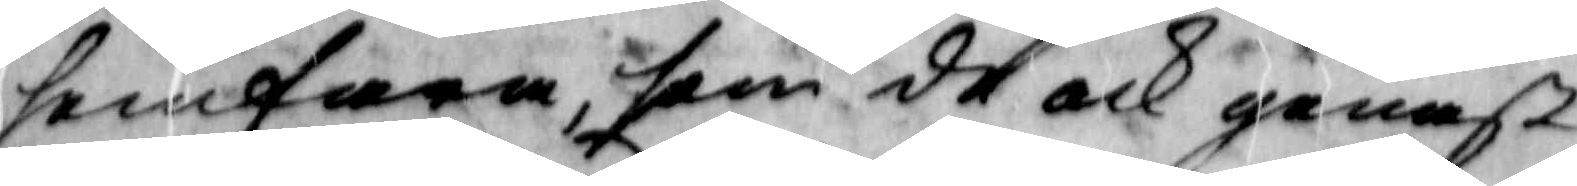hemfara, som de och genast
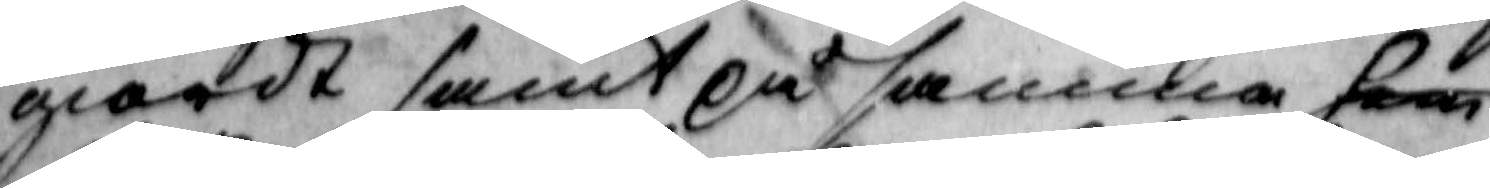giordt samt på samma hem
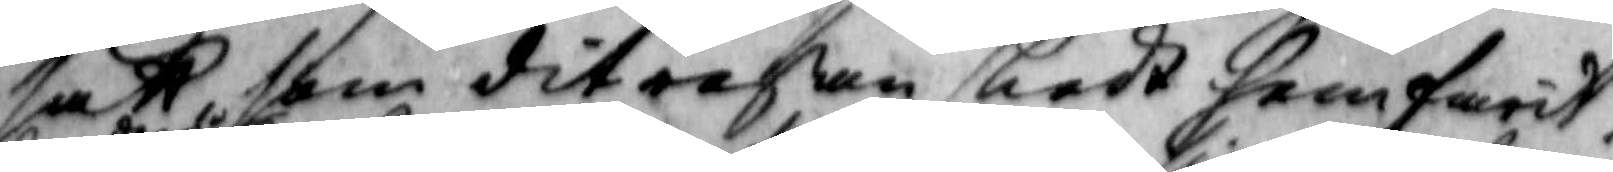sätt som ditresan skedt hemfarit,
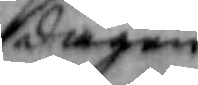dagen
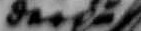derpå
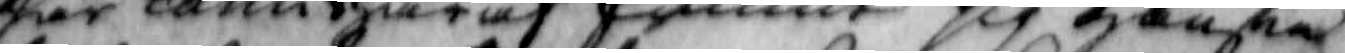har karin thäraf funnit sig ganska
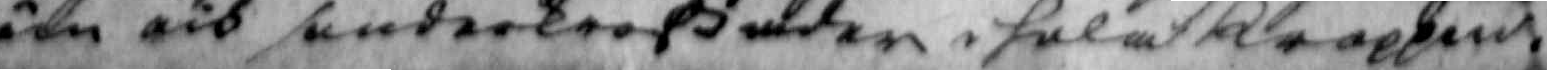öm och sunderkroßader i hela kroppen.
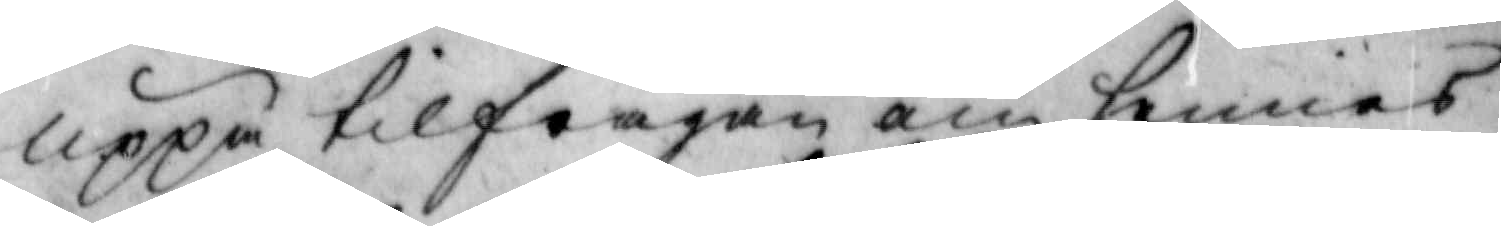uppå tilfrågan om hennes
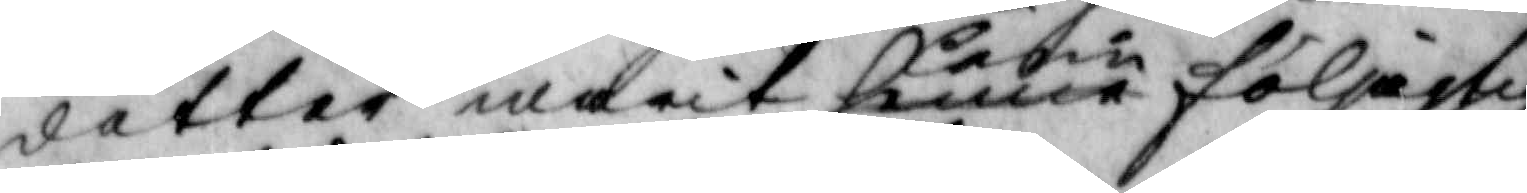dotter warit henne Carin följachtig
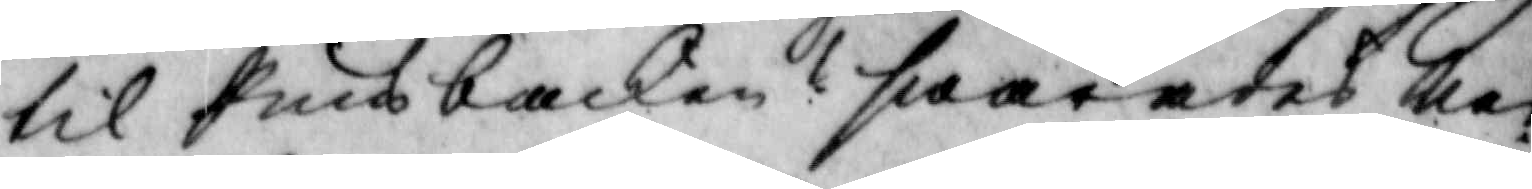til Puns backen? swaraees Nej
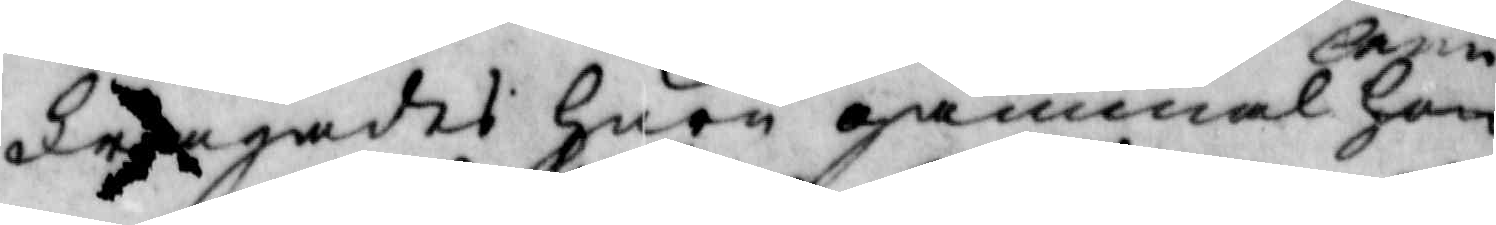Frågades huru gammal hon Carin
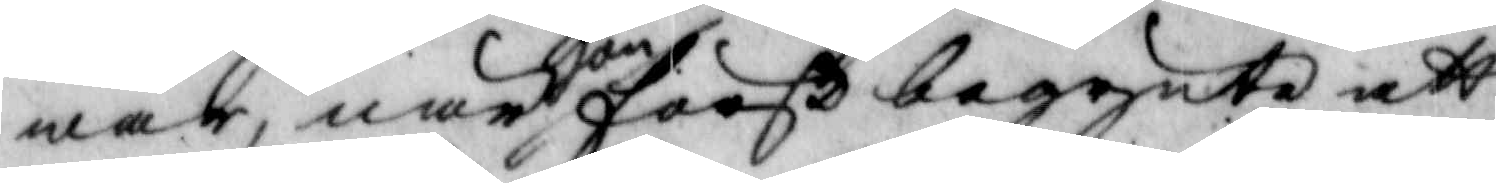war, när hon först begynte att
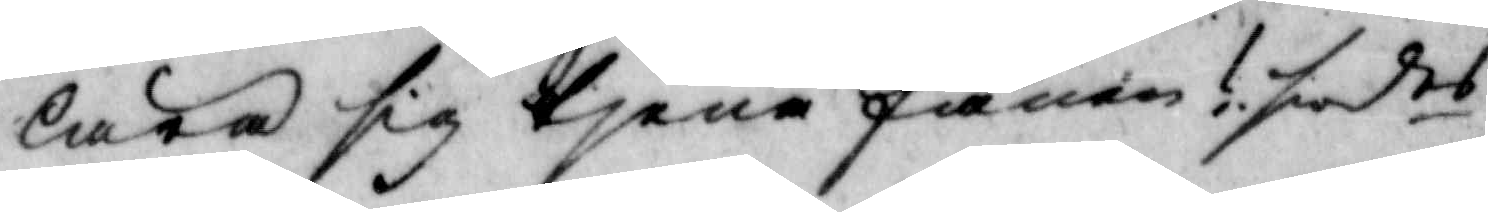lära sig tjena fanen? swdes
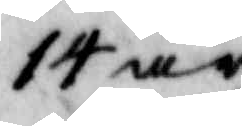14 år.
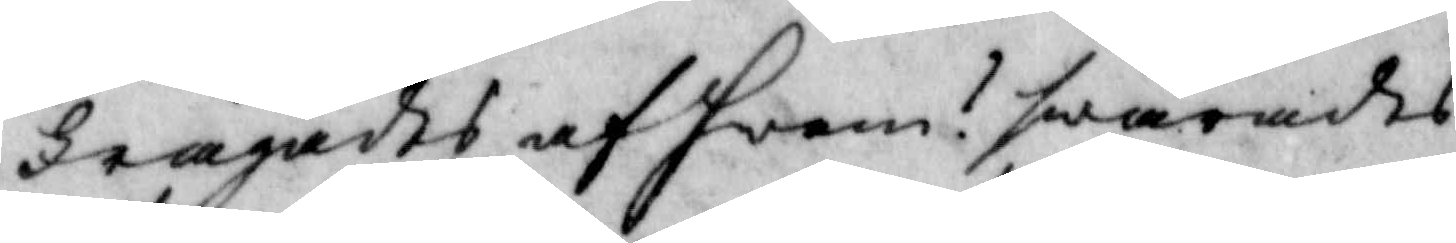frågades af hwem? swarades
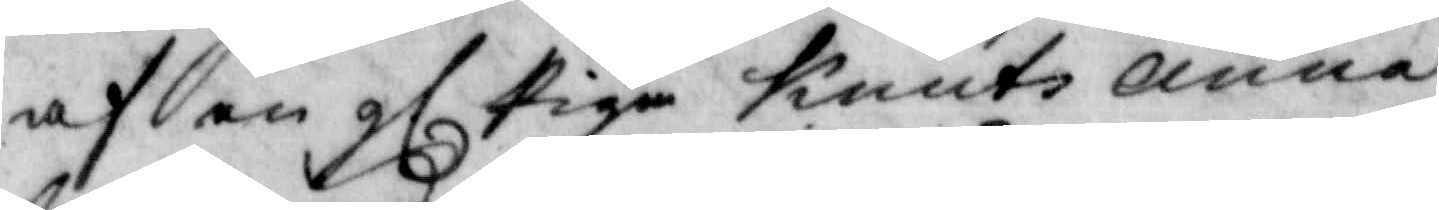af en gl Piga Knuts Anna
